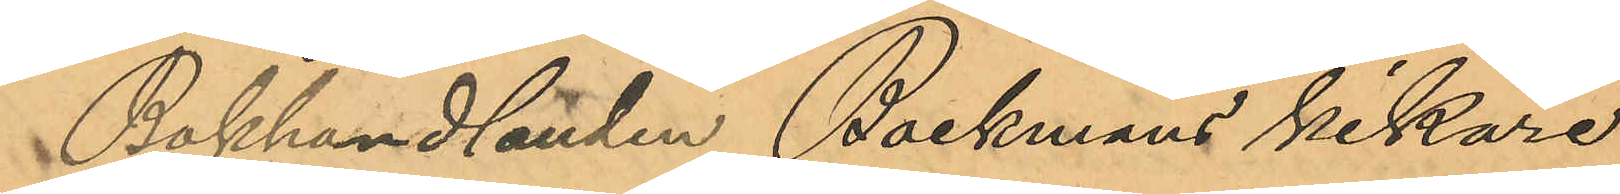Bokhandlanden Backmans kikare
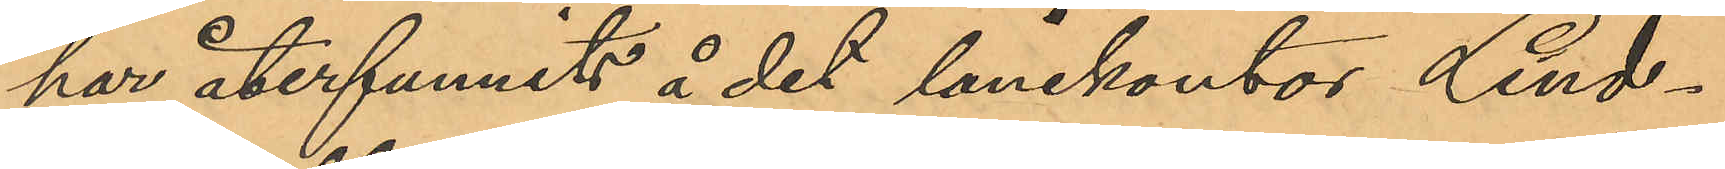har återfunnits å det lånekontor Lind¬
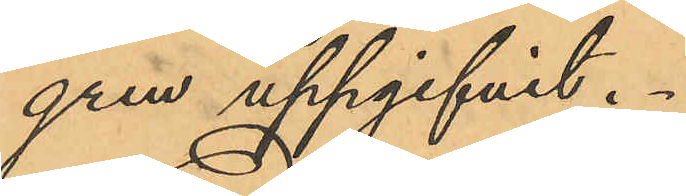gren uppgifvit.
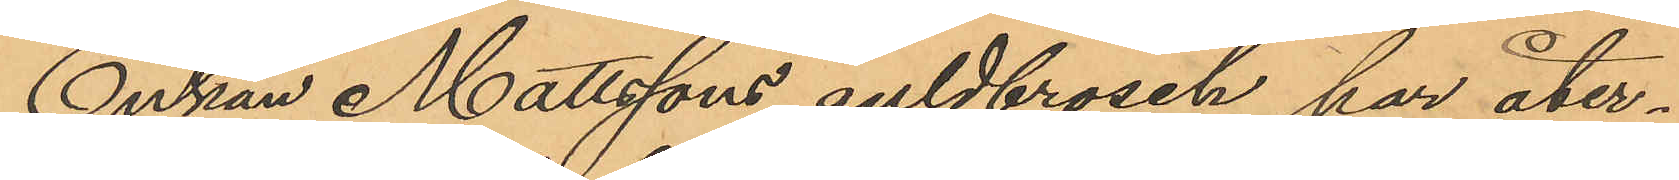Enkan Mattssons guldbrosch har åter¬
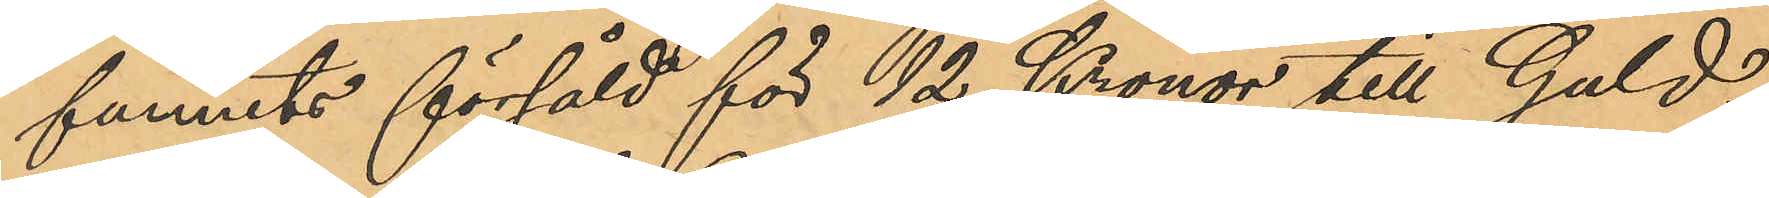funnits försåld för 12 Kronor till Guld¬
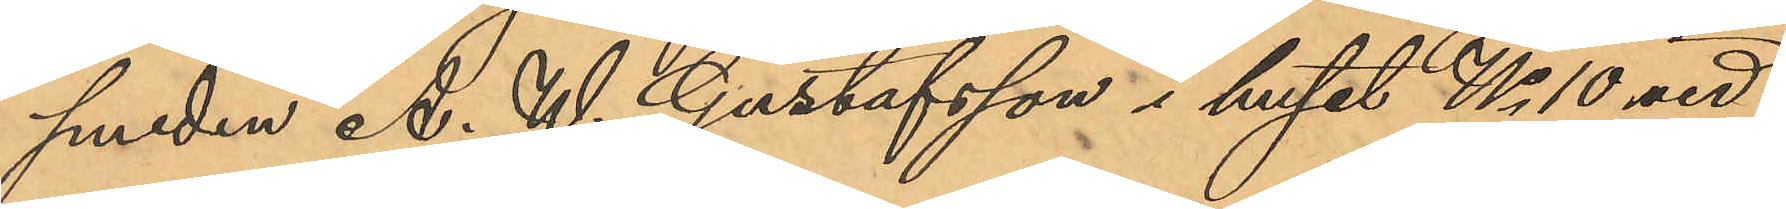smeden A. W. Gustafsson i huset No 10 vid
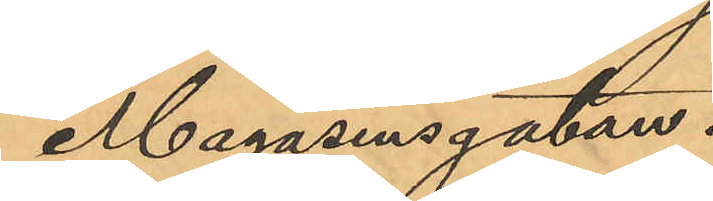Magasinsgatan.
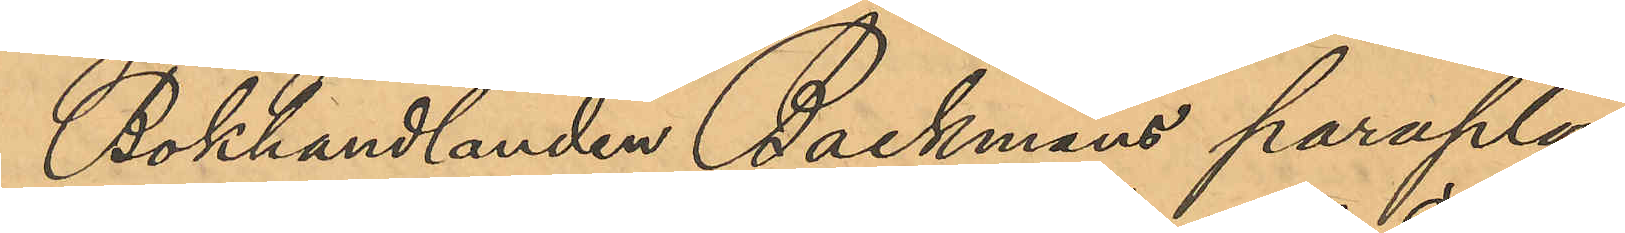Bokhandlanden Backmans paraply,
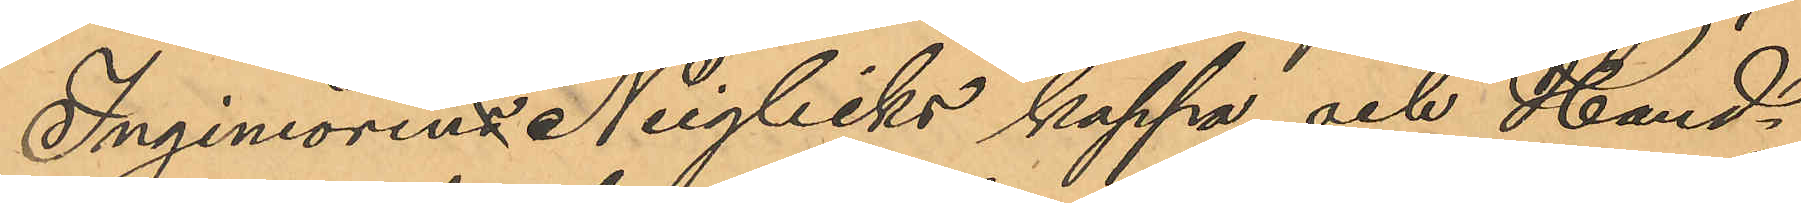Ingeniörens Neiglicks kappa och Hand¬
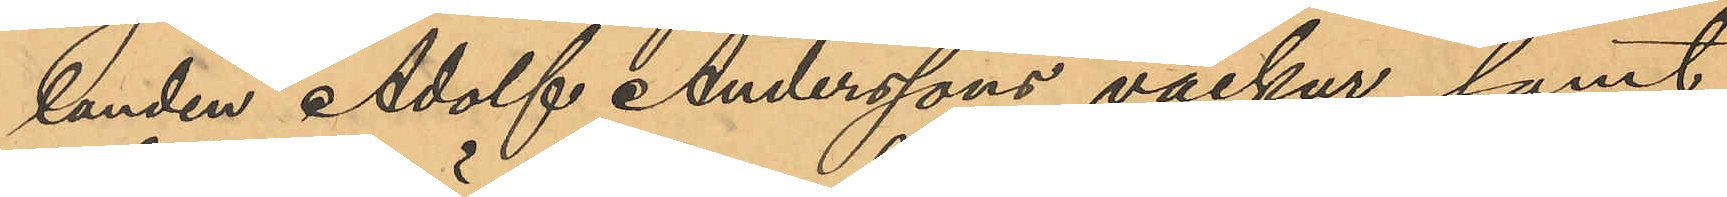landen Adolf Anderssons väckur samt
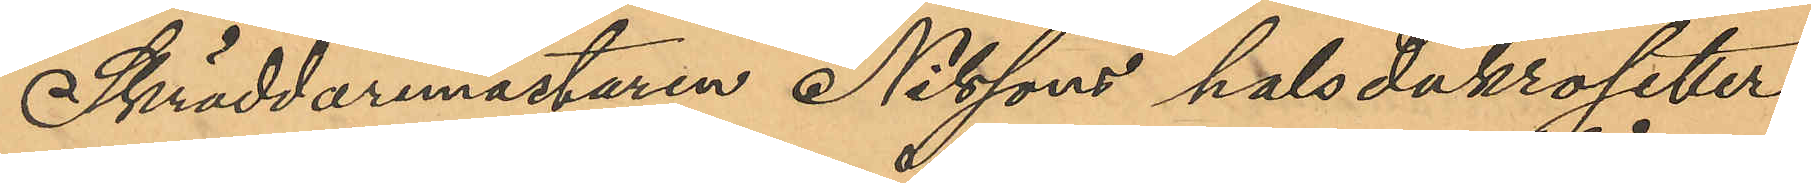Skräddaremästaren Nilssons halsdukrosetter
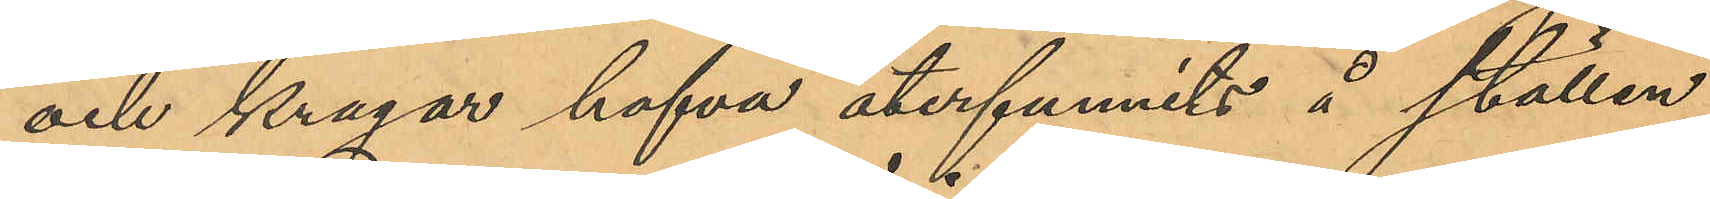och kragar hafva återfunnits å ställen
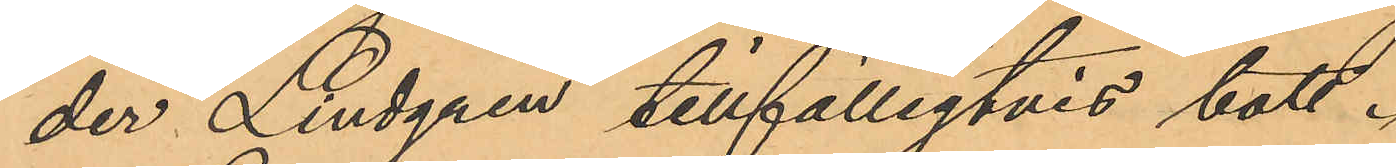der Lindgren tillfälligtvis bott.
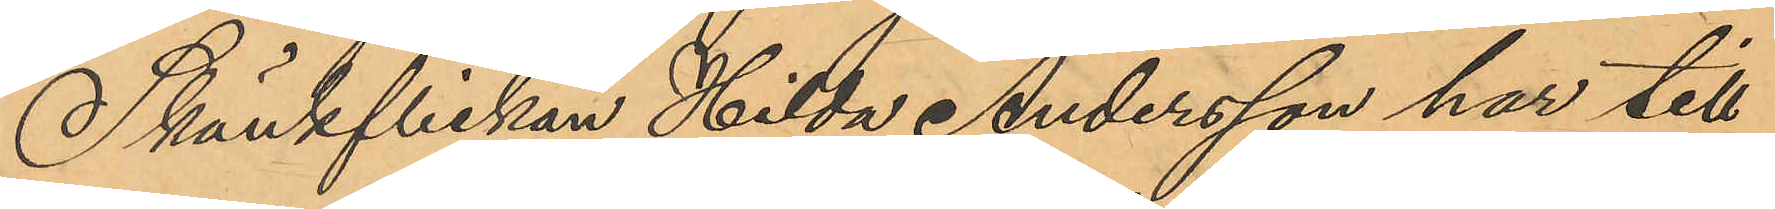Skänkflickan Hilda Andersson har till
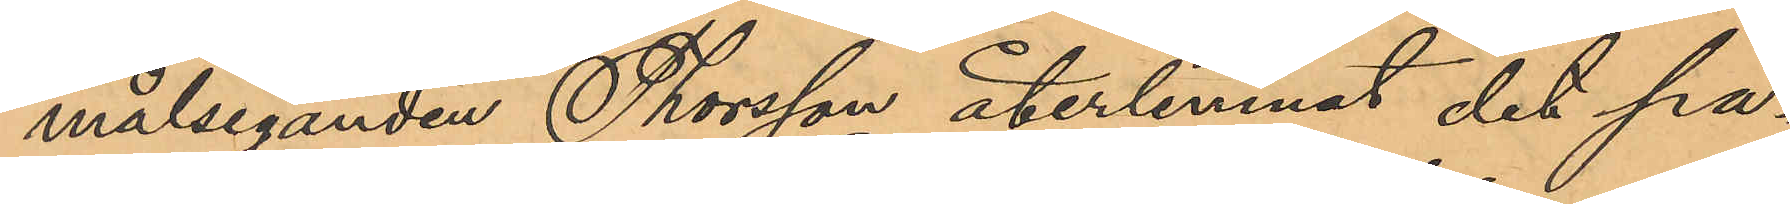målseganden Thorsson återlemnat det pa¬
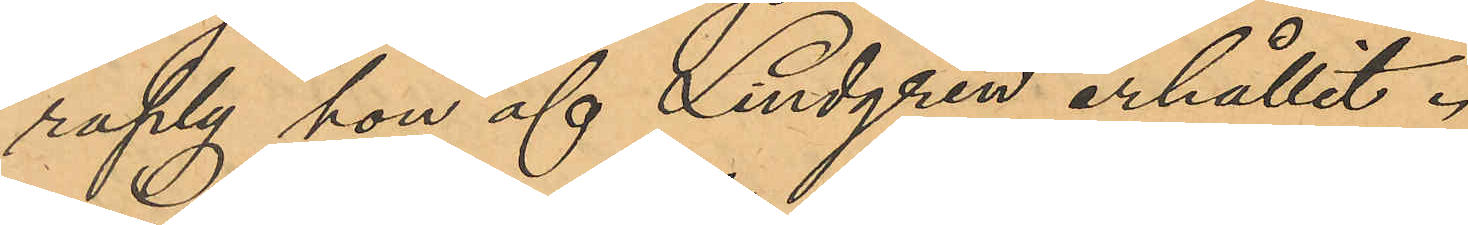raply hon af Lindgren erhållit.
